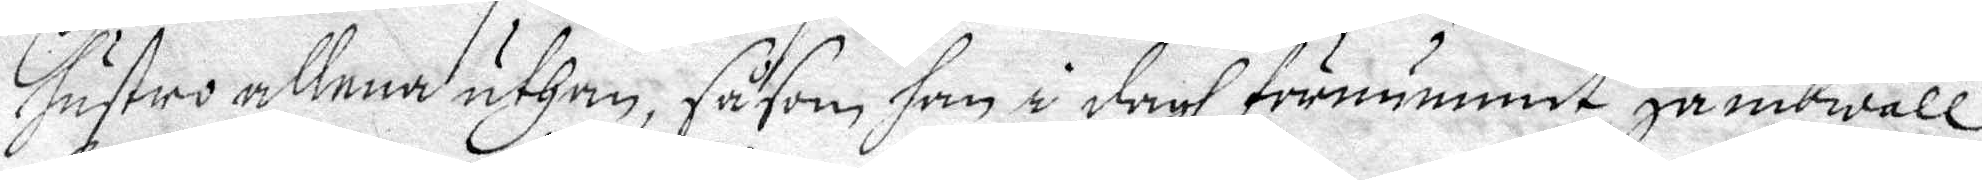hustru allena uthan, såsom han i dagh förnummit jämbwäll
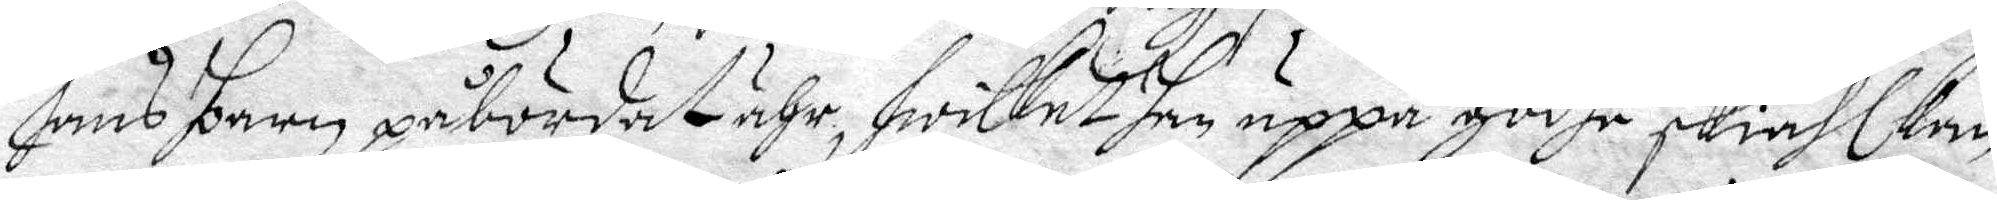hans barn påbördat ähr, hwilket han uppå godhe skiähl kan
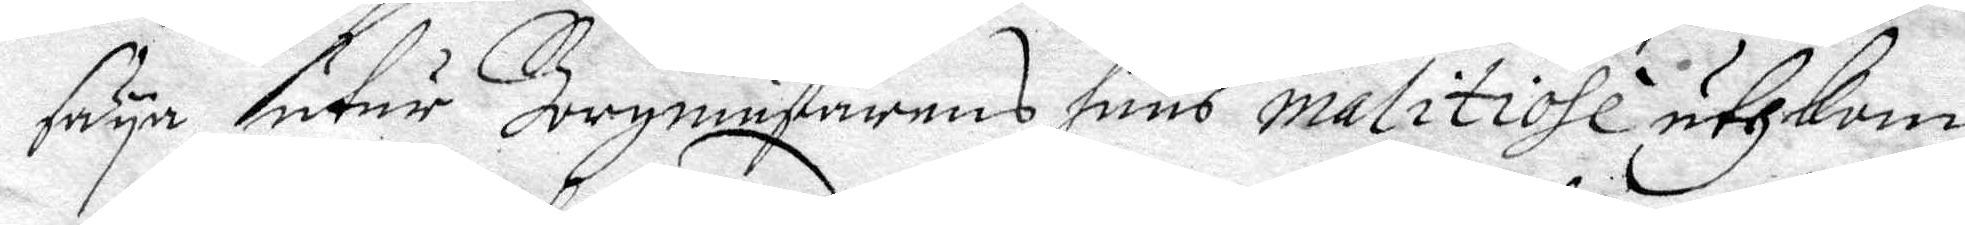säya utur Borgmästarens huus malitiohl uthkom¬
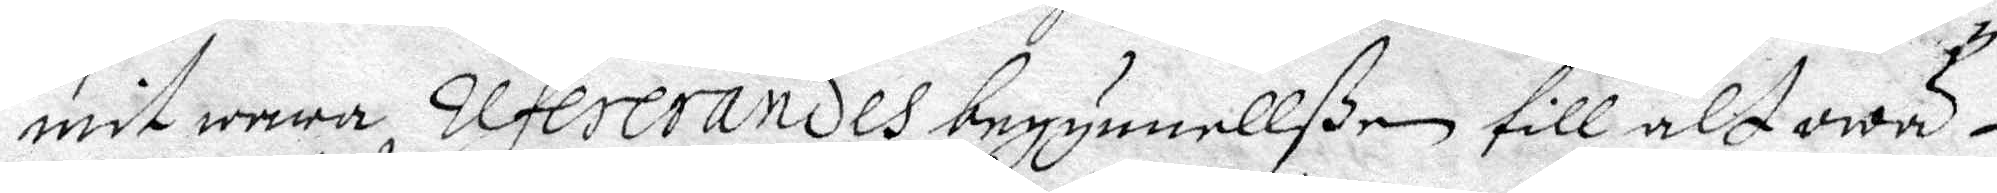mit wara, refererandes begynnellßen till alt owä¬
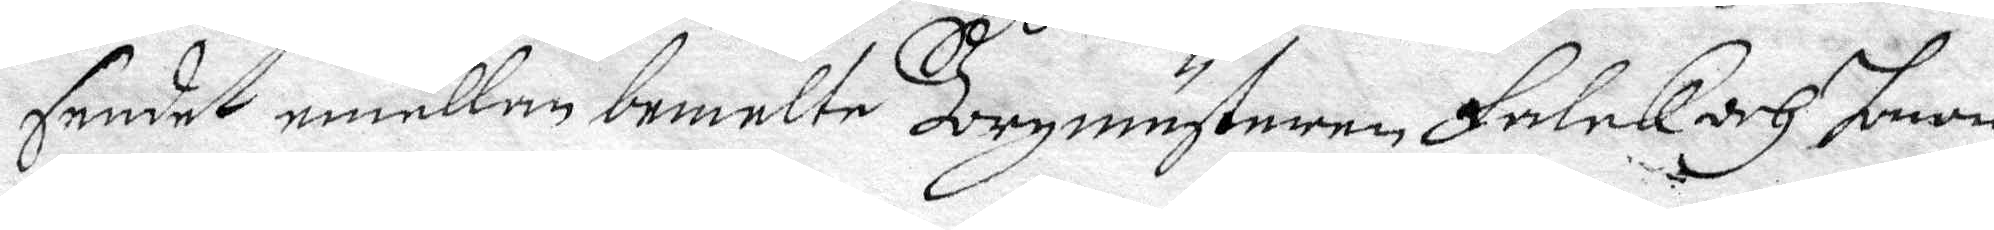sendet emellan bemelte Borgmästeren Falck och honom
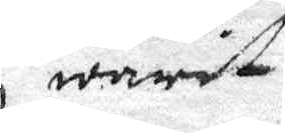warit
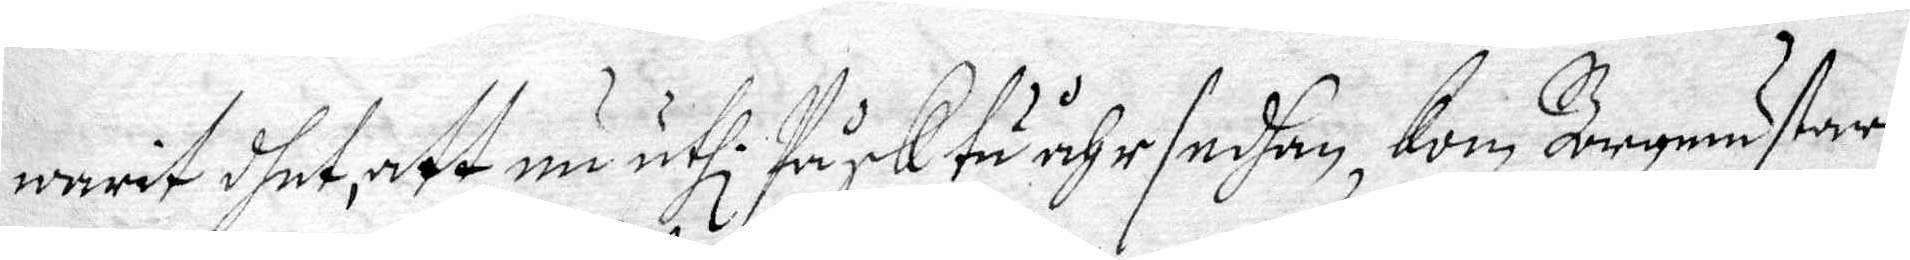warit dhet, att nu uthi Påsk tu åhr sedhan, Kom Borgmästeren
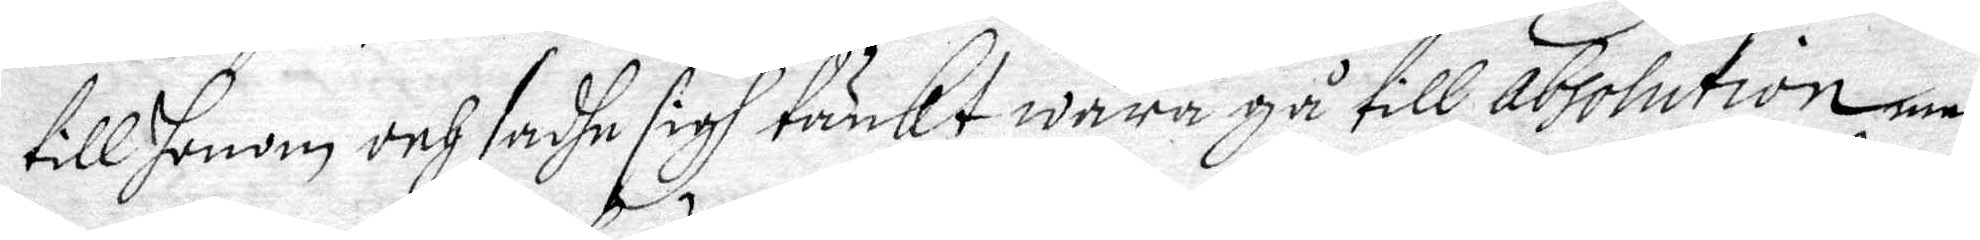till honom och sadhe sigh tänkt wara gå till absolution, man
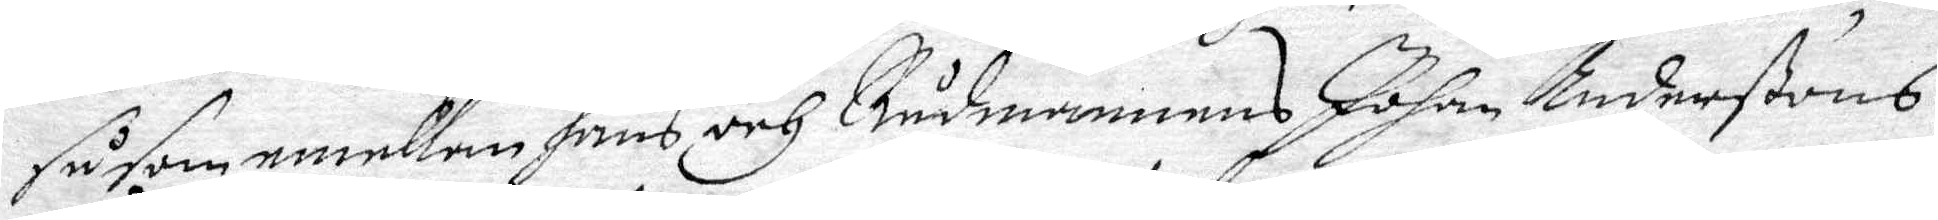såsom emellan hans och Rådmannes Johan Anderßons
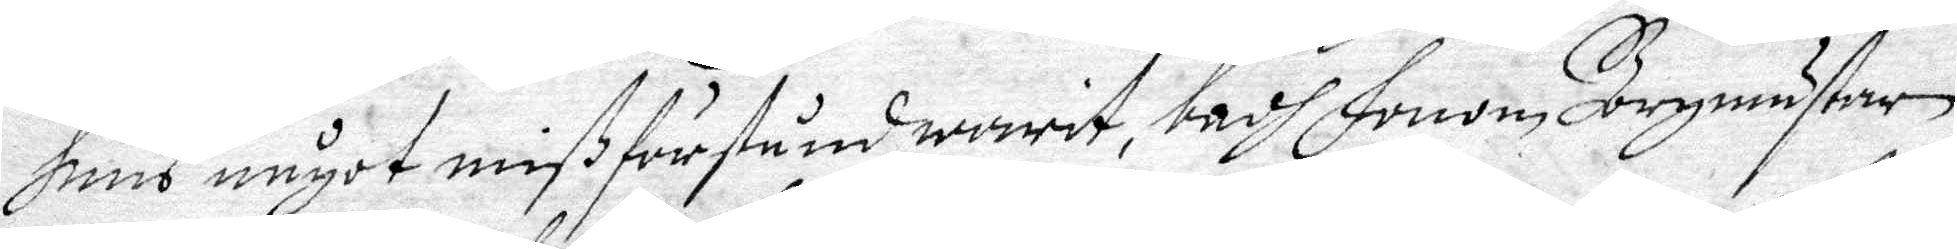huus något mißförstånd warit, badh Honom Borgmästare
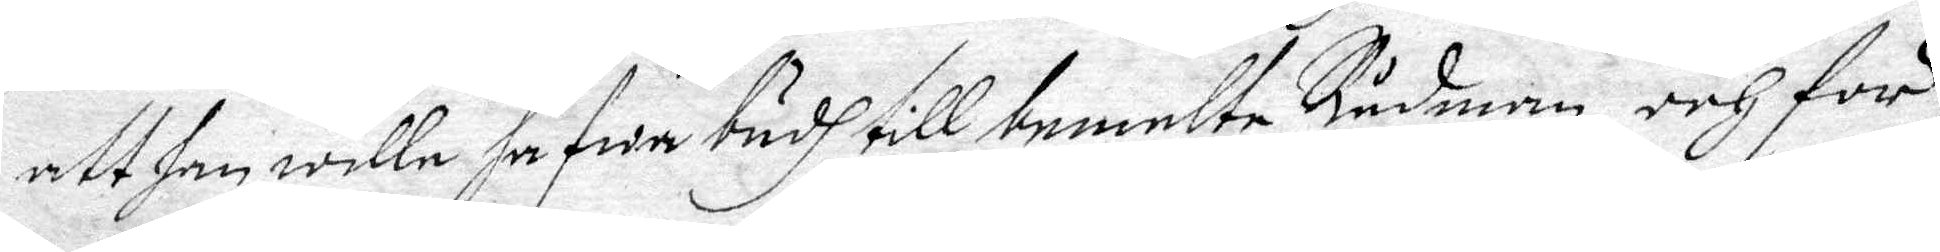att han wille hafwa budh till bemelte Rådman, och för¬
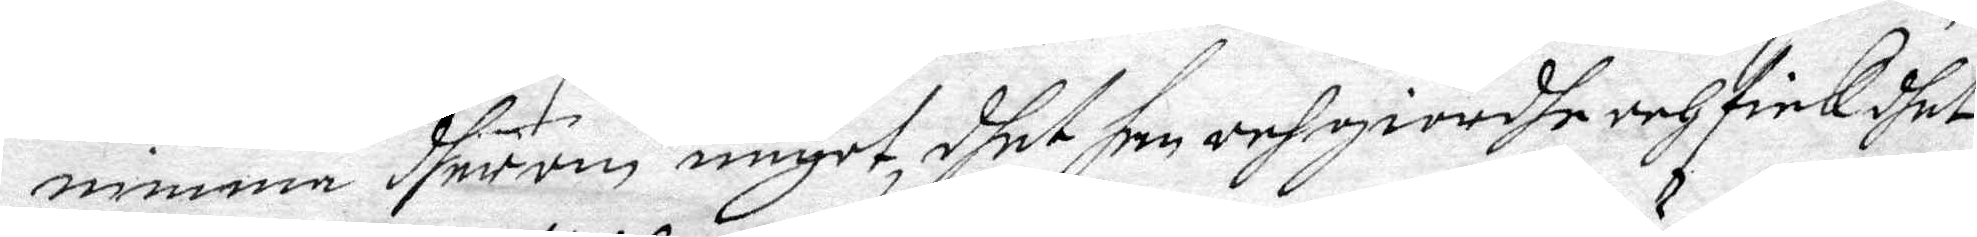ninma dherom något, dhet han och giordhe och fick dhet
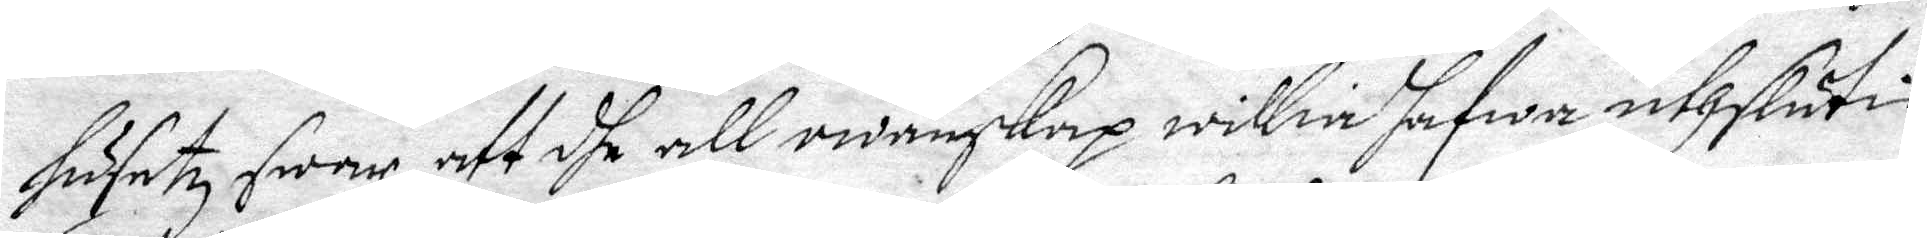husetz swar, att dhe all owänskap willia hafwa uthslutin,
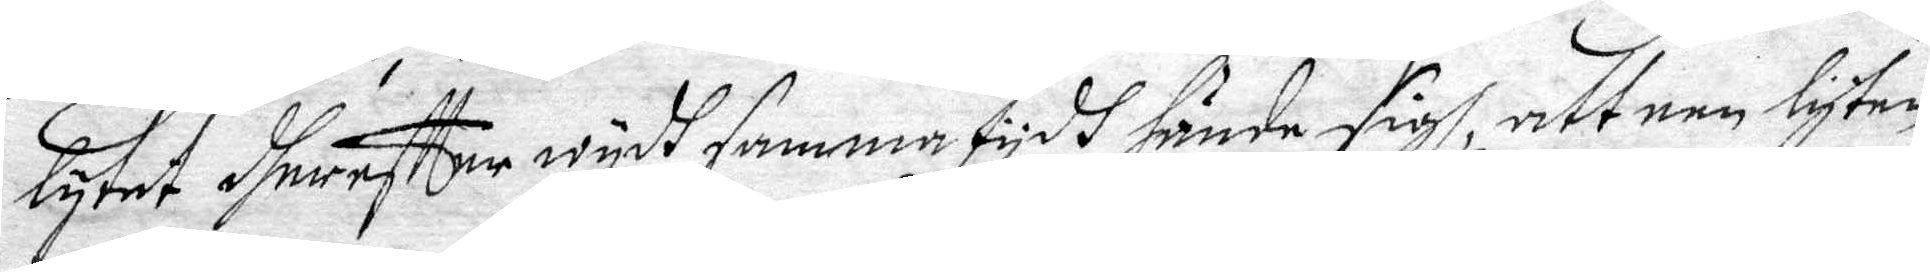lytet dherefter wydh samma tydh hände sigh, att een lyten
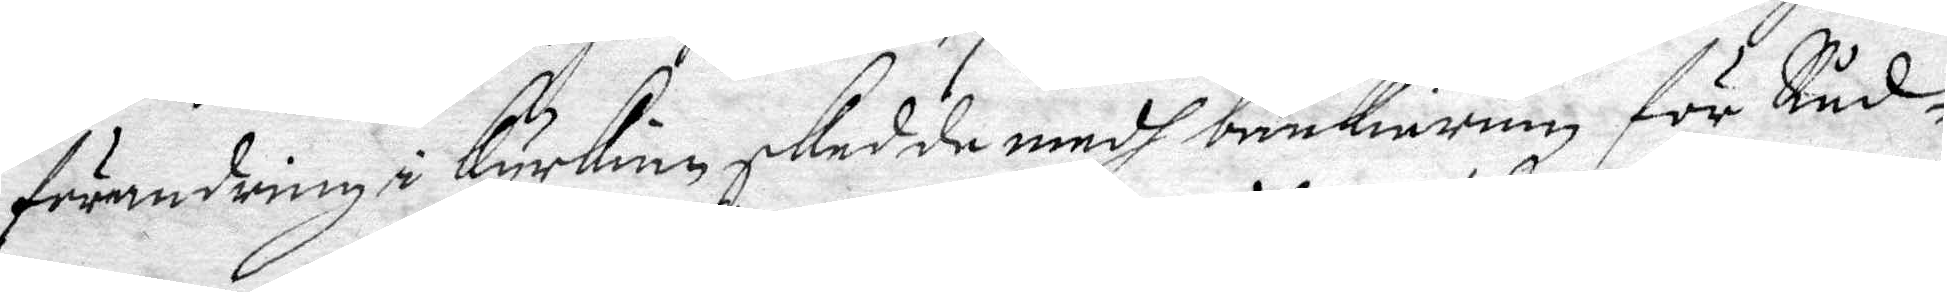förändring i Kurkian skedda medh bänkierum för Råd¬
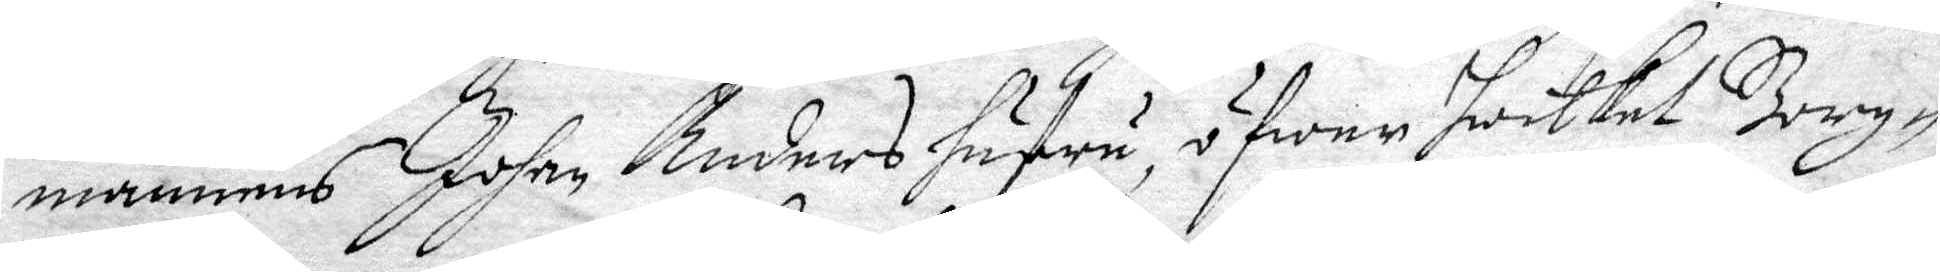mannens Johan Anders hustru, öfwer hwilket Borg¬
